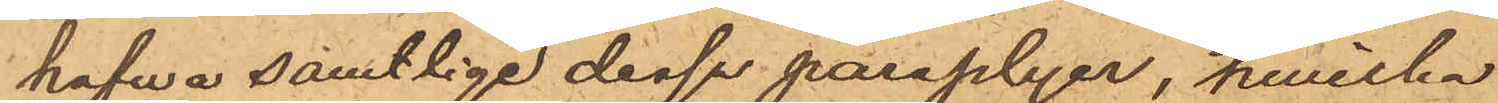hafwa samtlige dessa paraplyer, hwilka
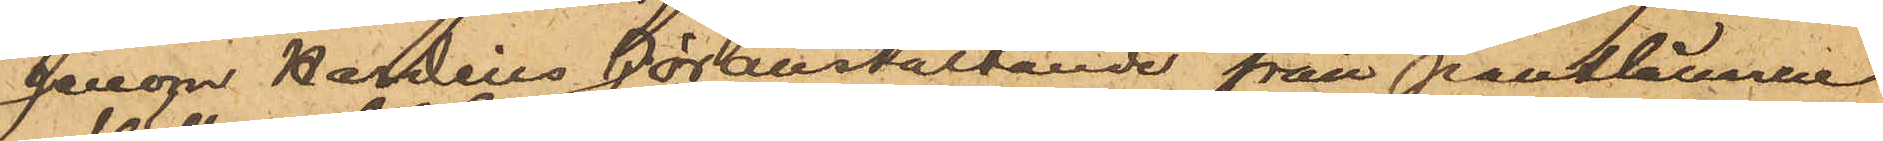genom Nordins föranstaltande från pantlånarne
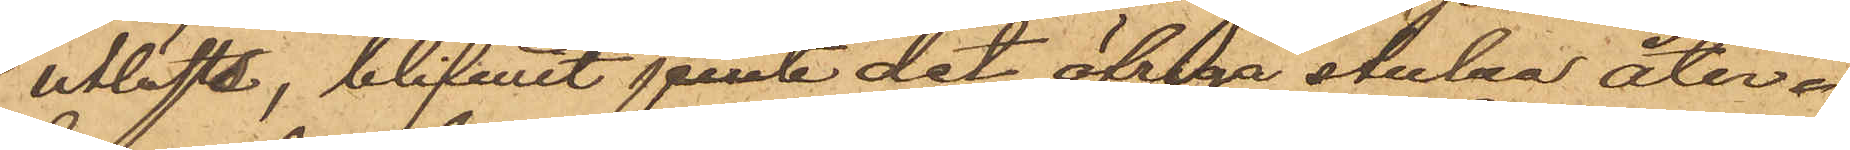utlösts, blifvit jemte det öfriga stulna åter¬
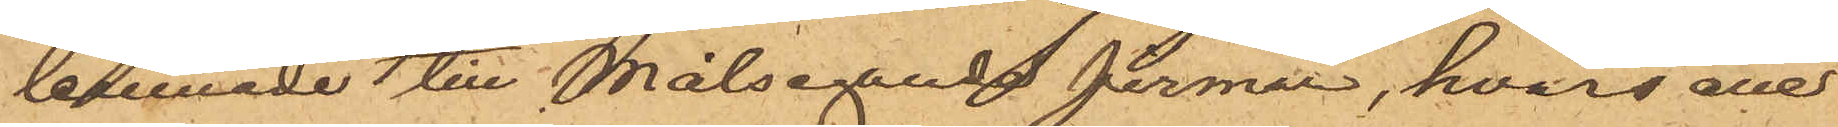lemnade till Målsegandefirman, hvars ene
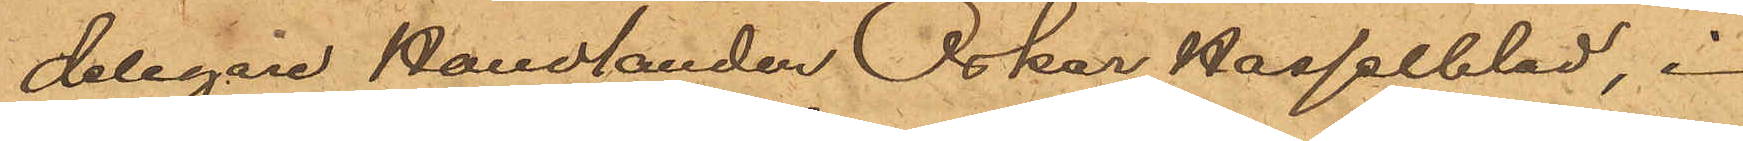delegare Handlanden Oskar Hasselblad, i
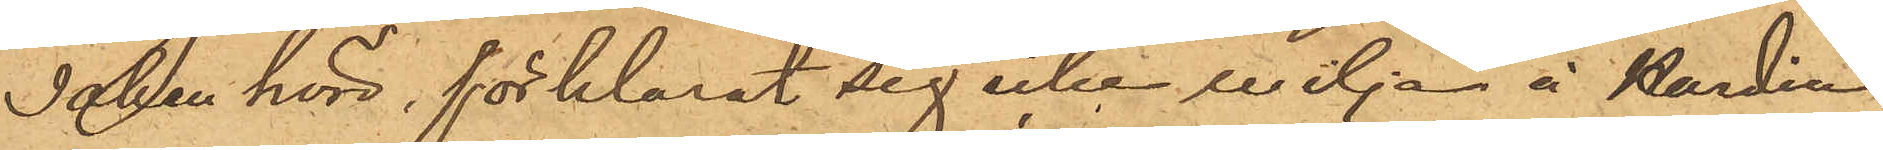saken hörd, förklarat sig icke vilja å Nordin
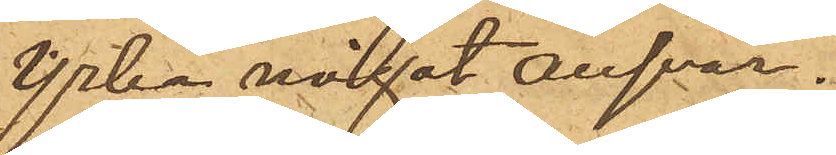yrka något ansvar.
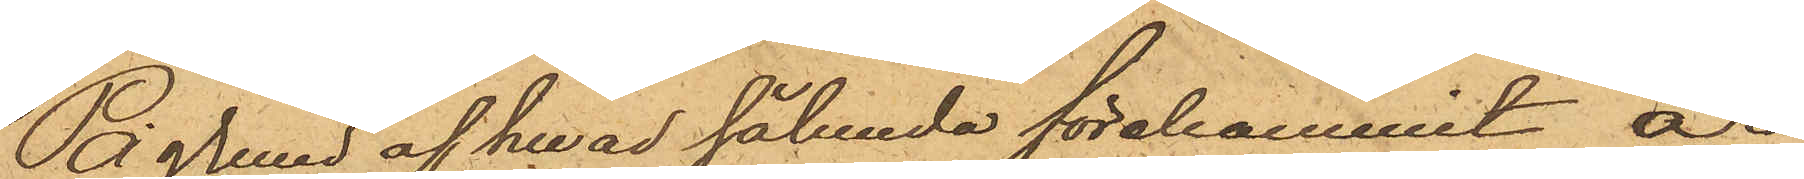På grund af hvad sålunda förekommit är
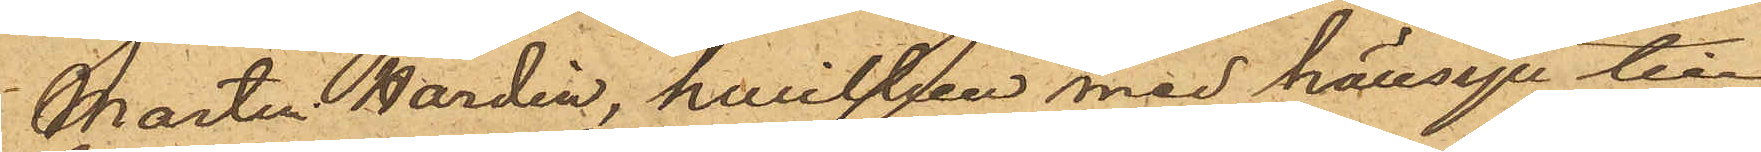Martin Nordin, hwilken med hänsyn till
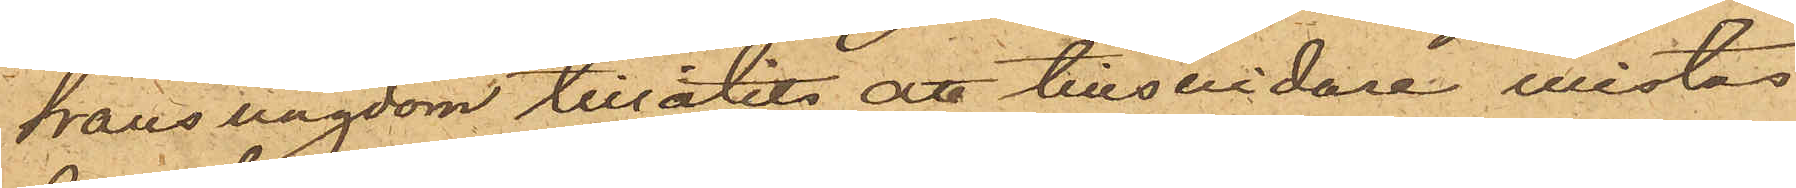hans ungdom tillåts att tillsvidare vistas
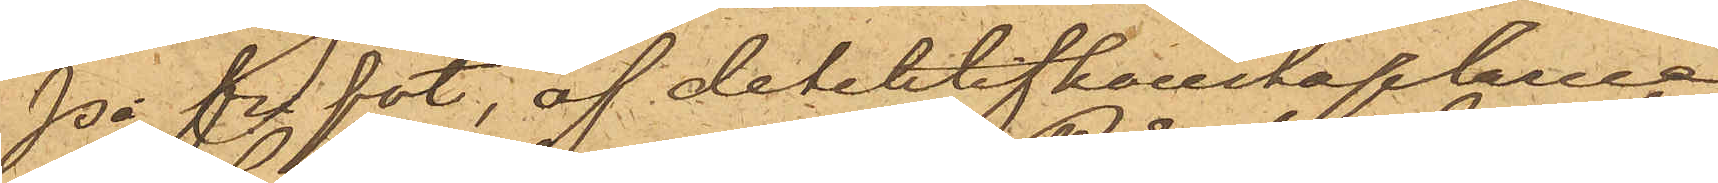på frl fot, af detektifkonstaplarne
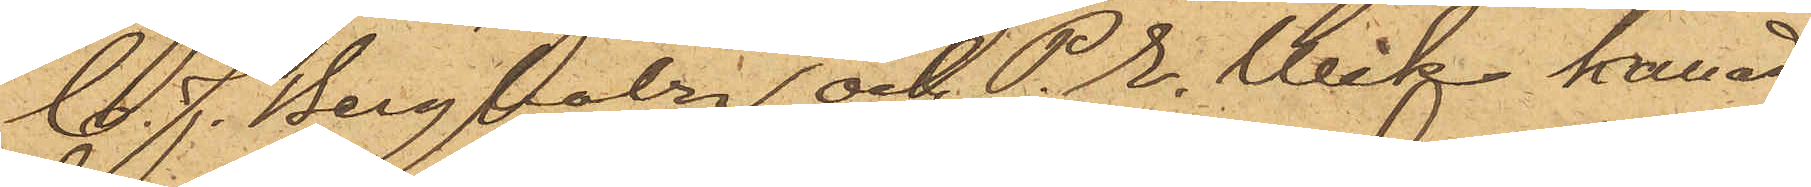C. J. Bergholtz och P.E Wik kallad
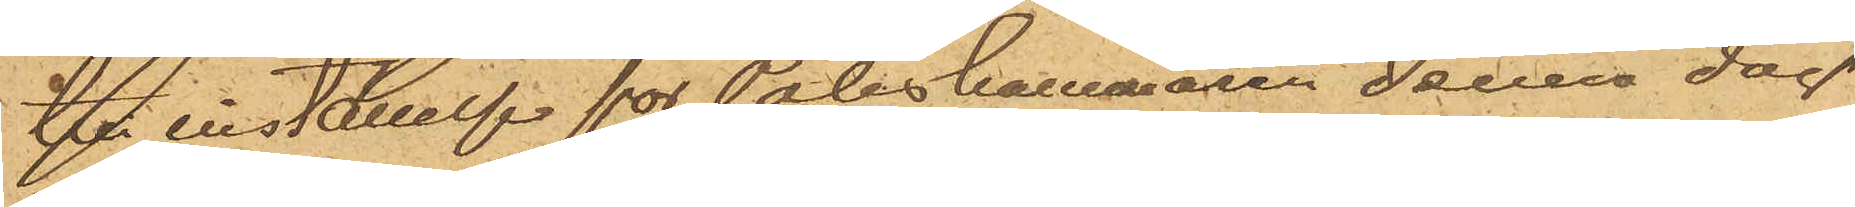till inställelse för Poliskammaren denna dag.
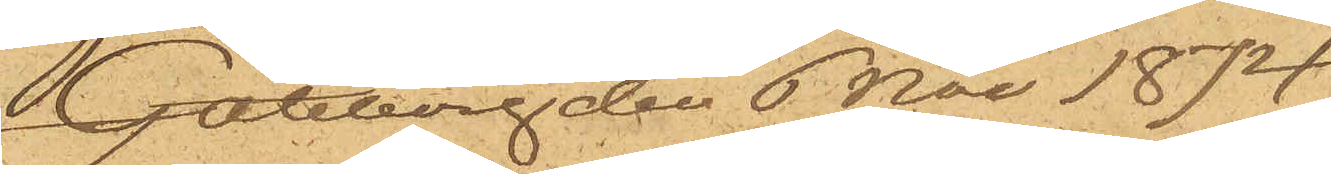Göteborg den 6 Nov 1874.
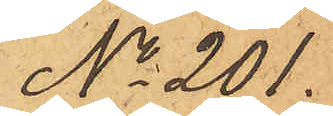No 201.
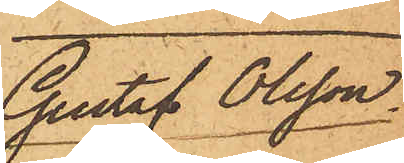Gustaf Olsson.
